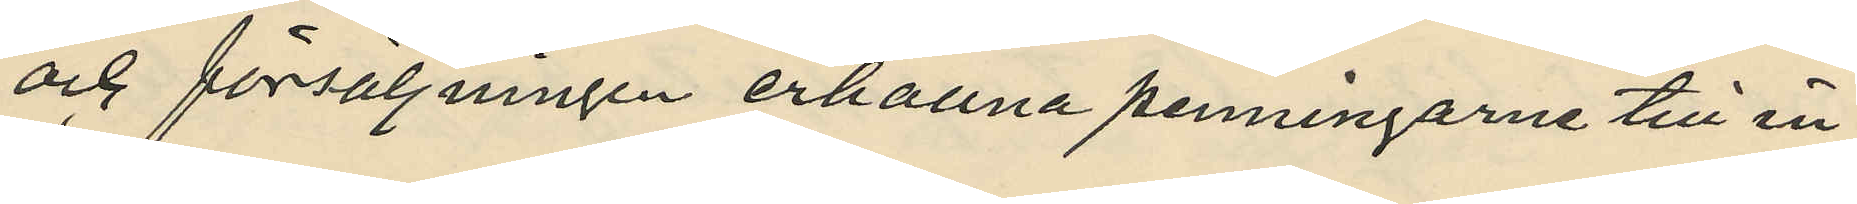och försäljningen erhållna penningarna till in¬
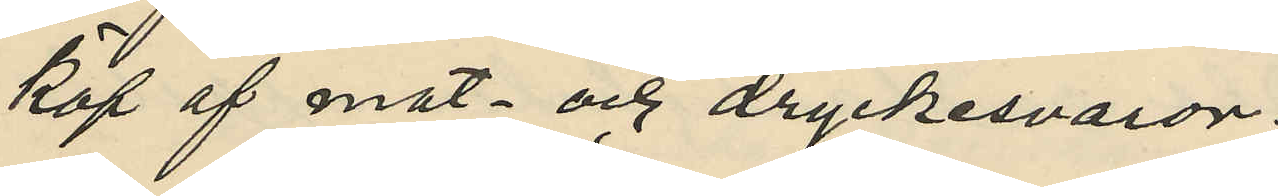köp af mat. och dryckesvaror.
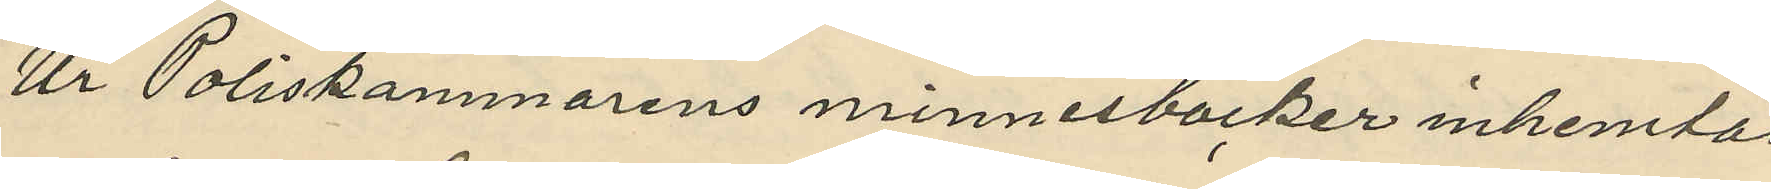Ur Poliskammarens minnesböcker inhemtas
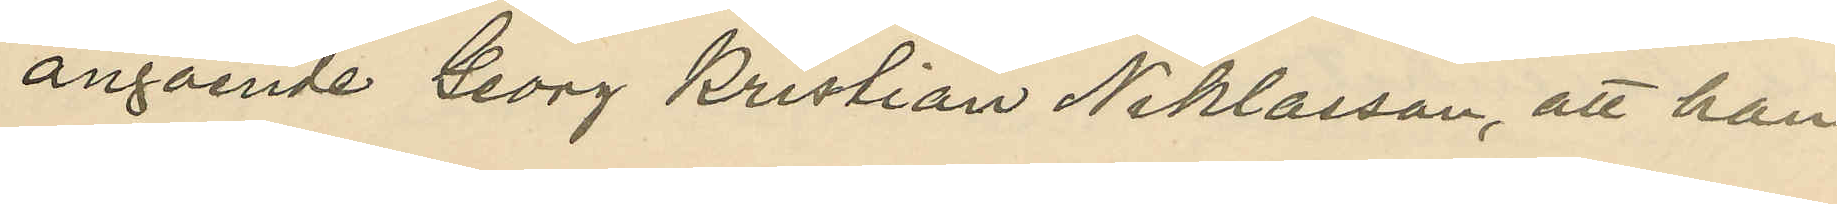angående Georg Krristian Niklasson, att han
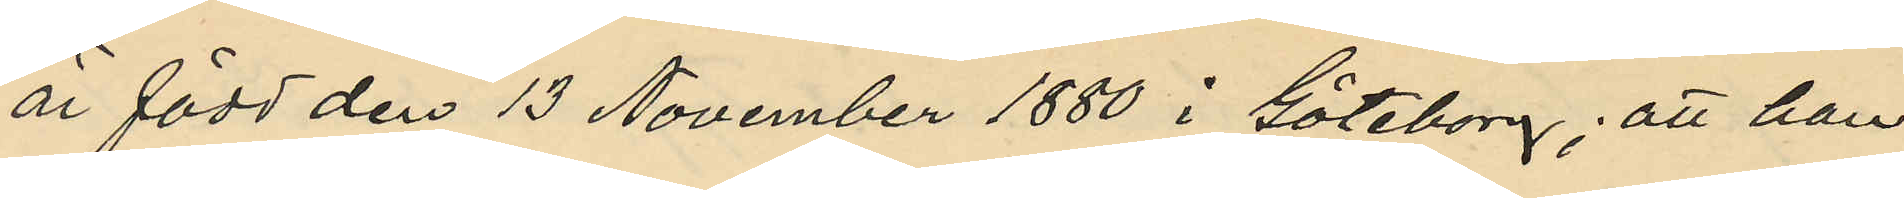är född den 13 November 1880 i Göteborg; att han
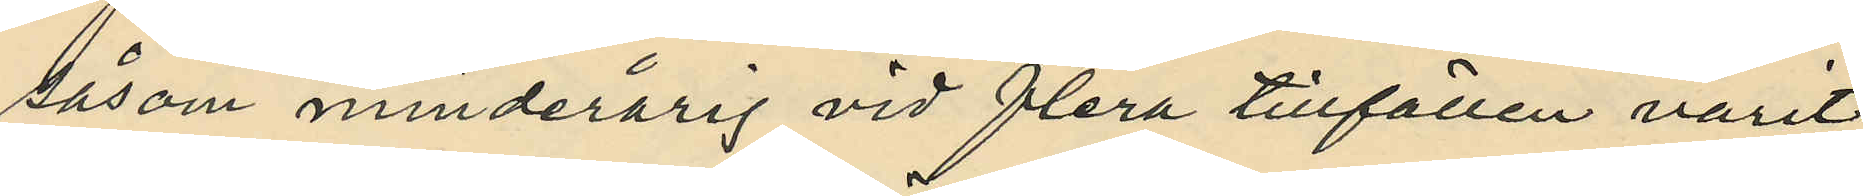såsom minderårig vid flera tillfällen varit
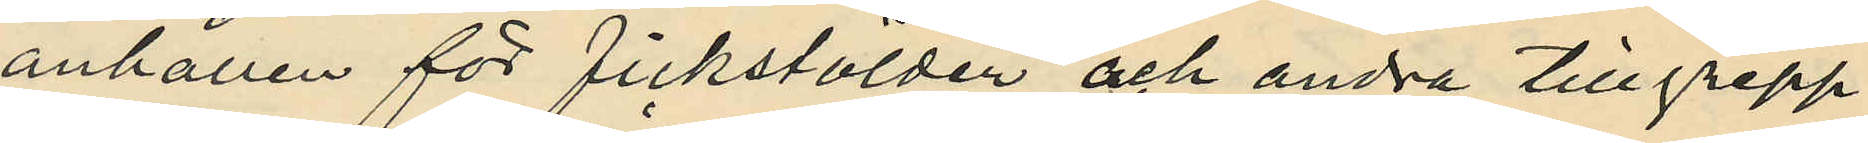anhållen för fickstölder och andra tillgrepp
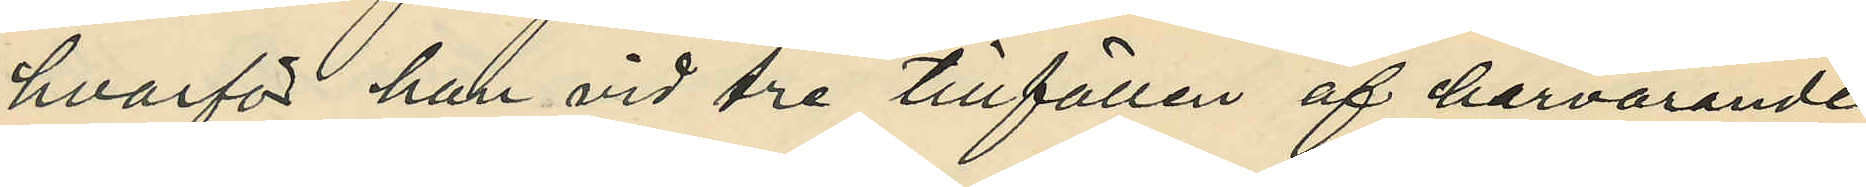hvarför han vid tre tillfällen af harvarande
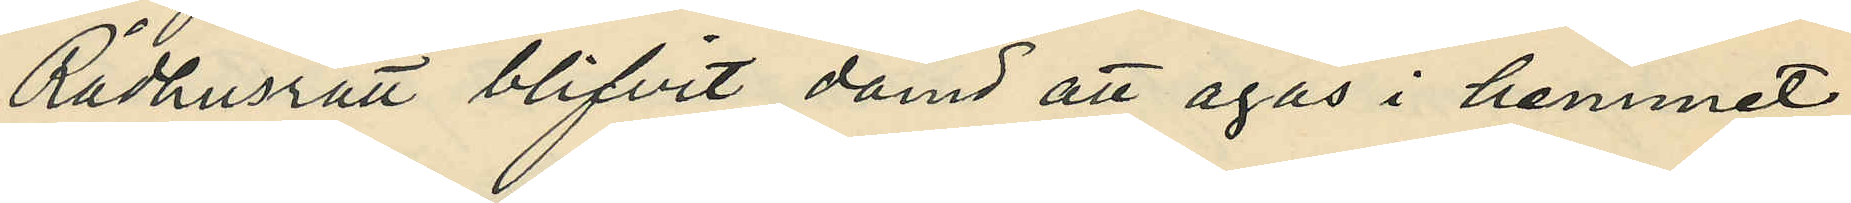Rådhusrätt blifvit dömd att agas i hemmet,
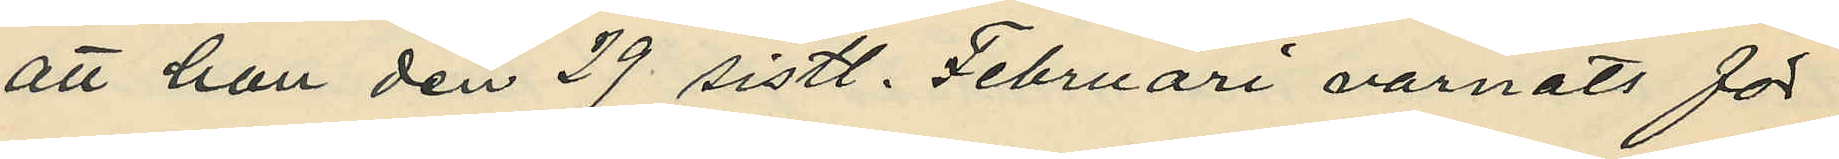att han den 29 sistl. Februari varnats för
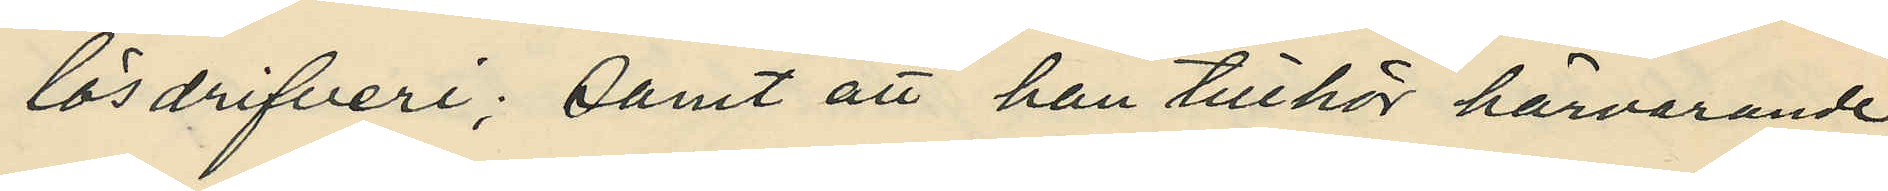lösdrifveri; samt att han tillhör härvarande
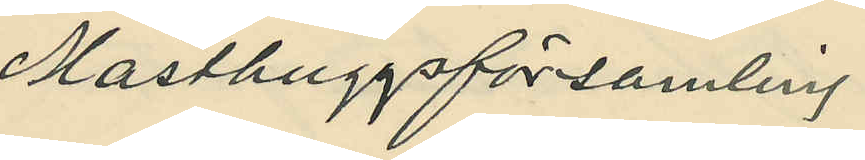Masthuggsförsamling.
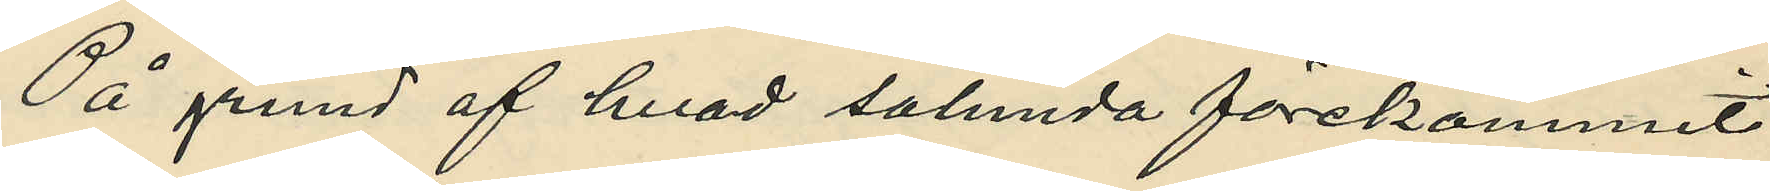På grund af hvad sålunda förekommit
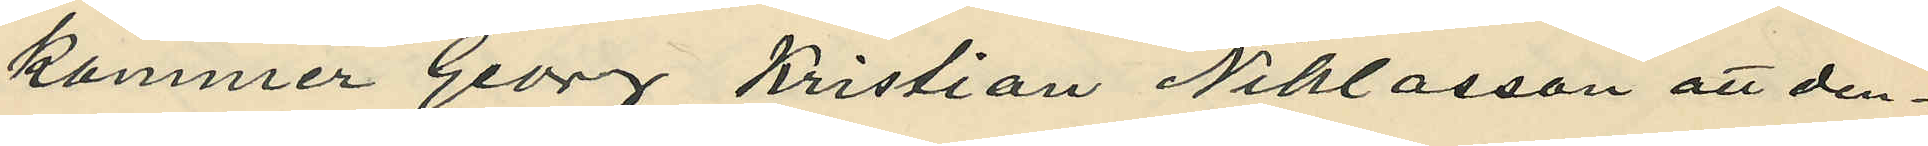kommer Georg Kristian Niklasson att den¬
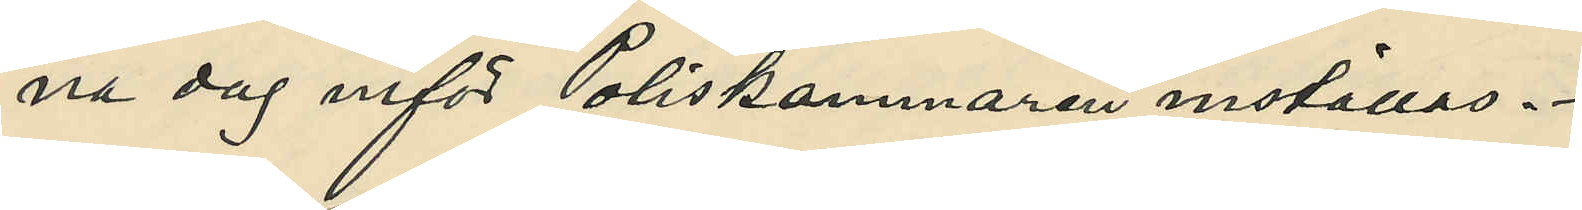na dag inför Poliskammaren inställas.
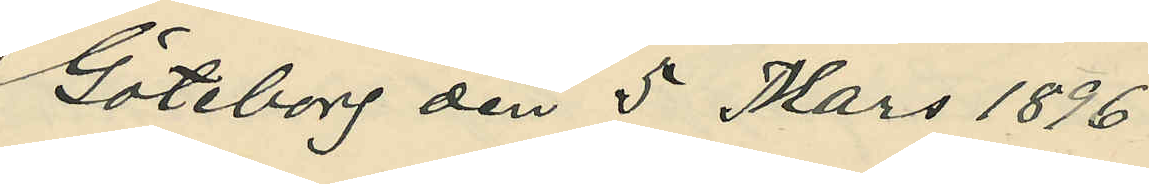Göteborg den 5 Mars 1896
